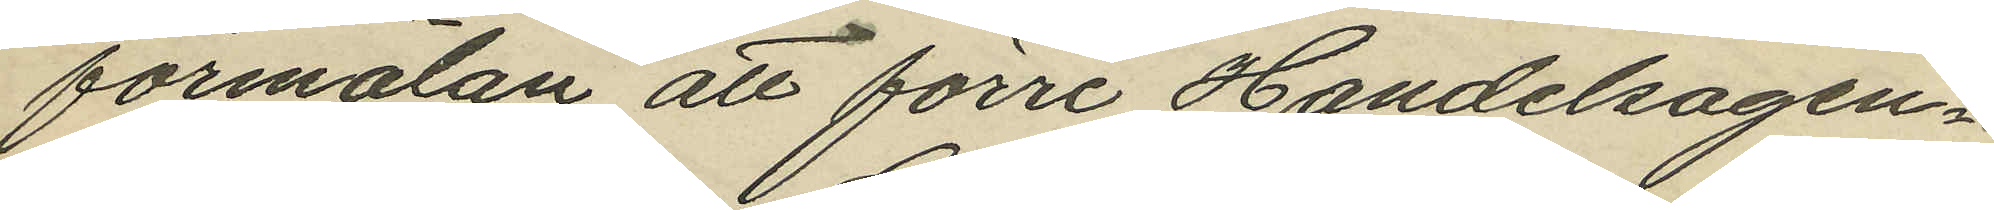förmälan att förre Handelsagen¬
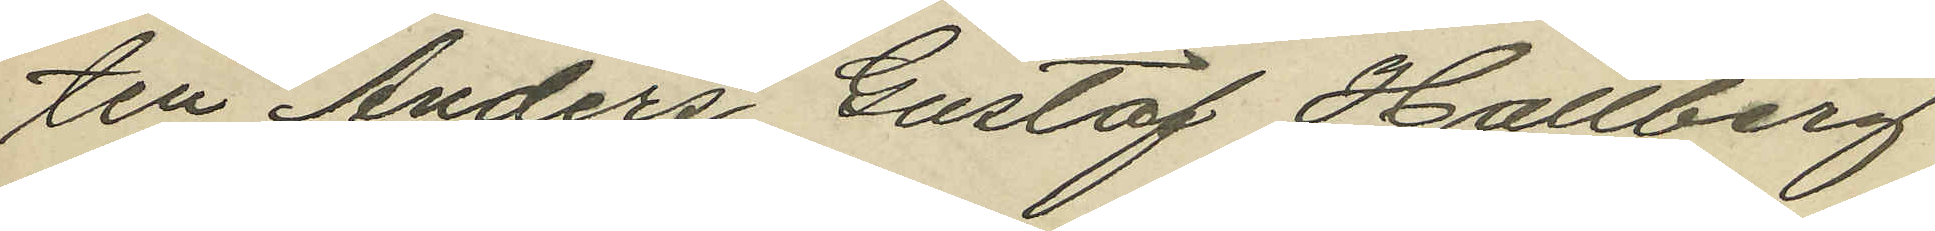ten Anders Gustaf Hallberg
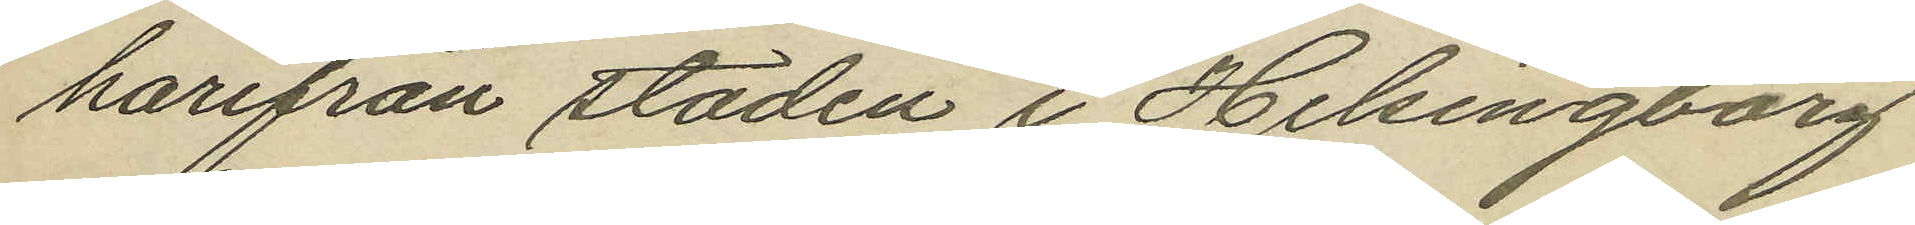harifrån staden i Helsingborg
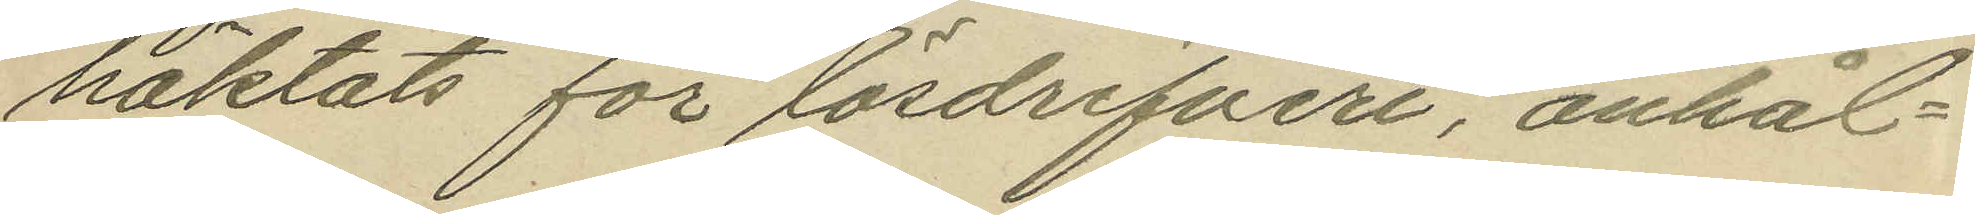häktats för lösdrifveri, anhål¬
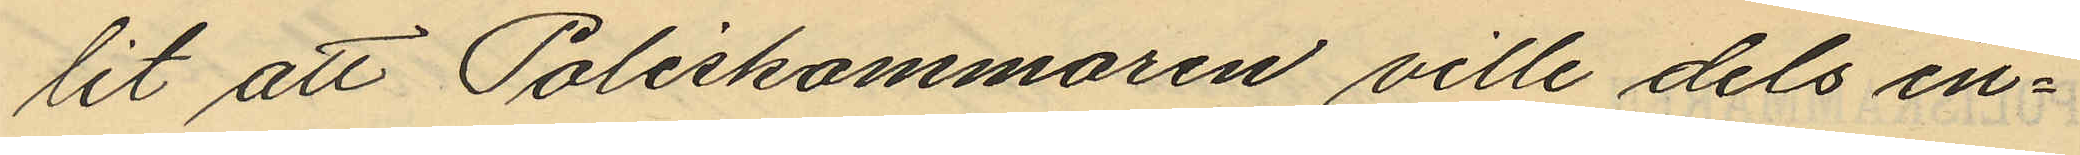lit att Poliskammaren ville dels in¬
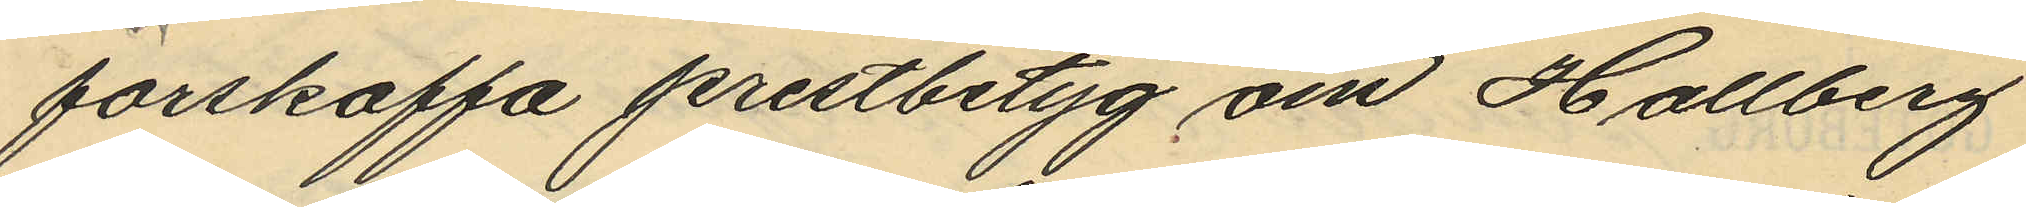förskaffa prestbetyg om Hallberg
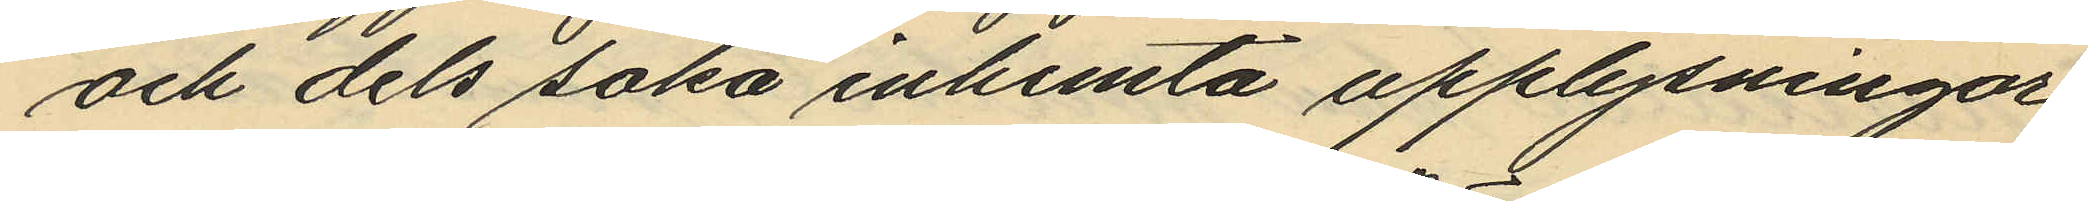och dels söka inhemta upplysningar
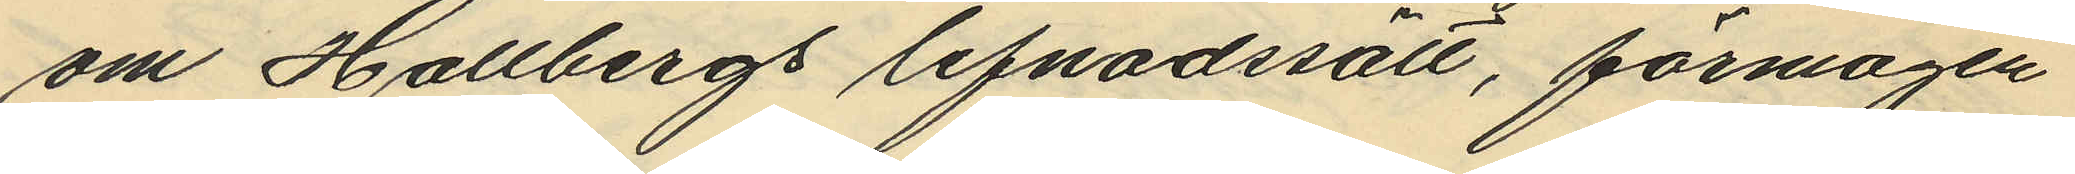om Hallbergs lefnadssätt, förmögen¬
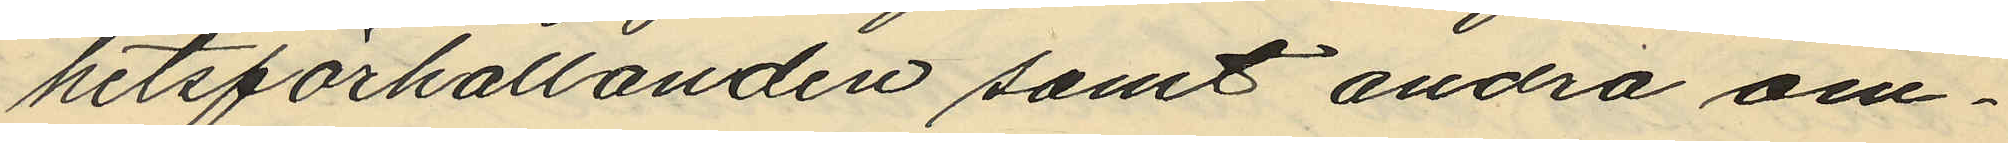hetsförhållanden samt andra om¬
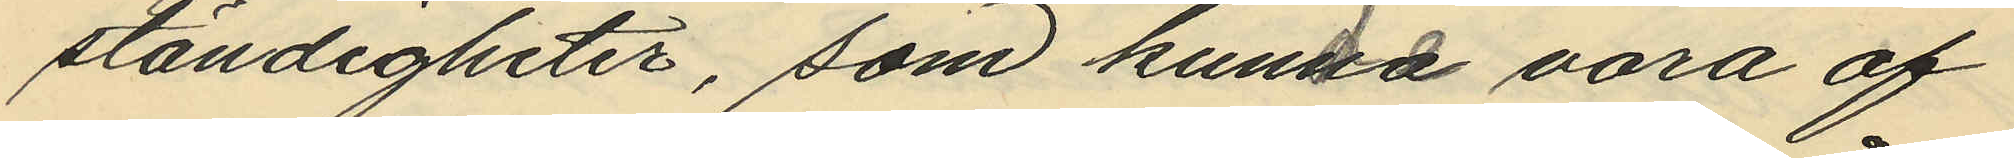ständigheter, som kunna vara af
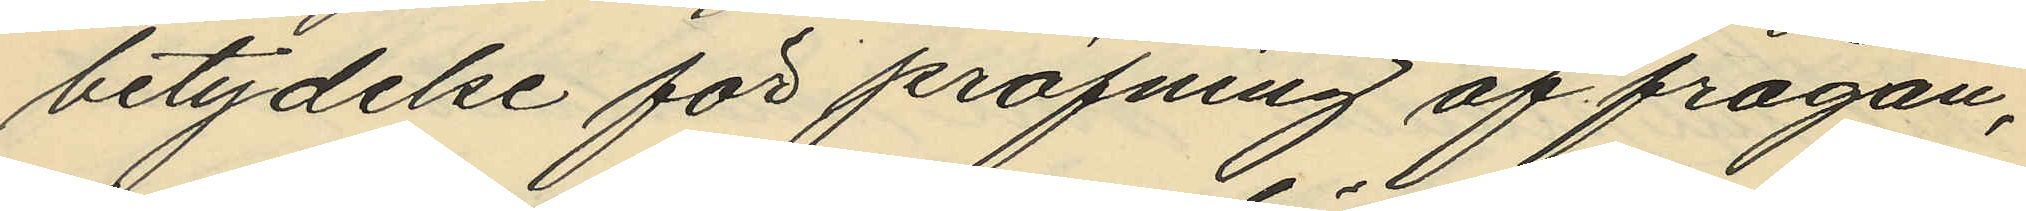betydelse för pröfning af frågan,
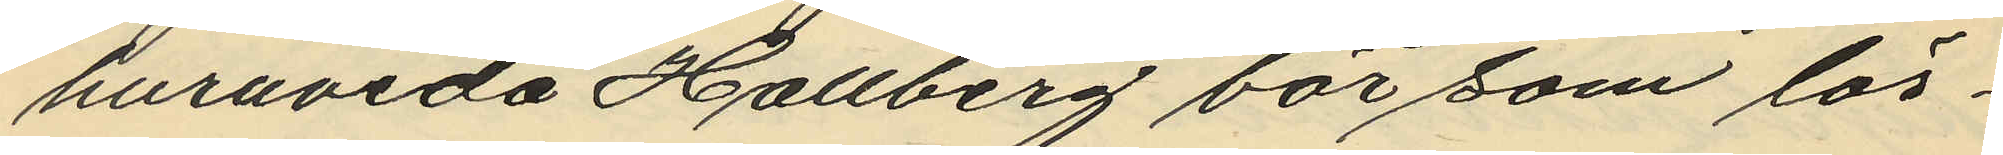huruvida Hallberg bör som lös¬
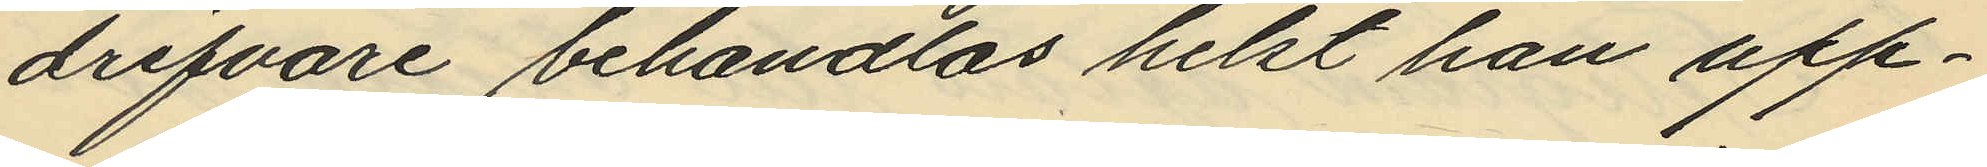drifvare behandlas helst han upp¬
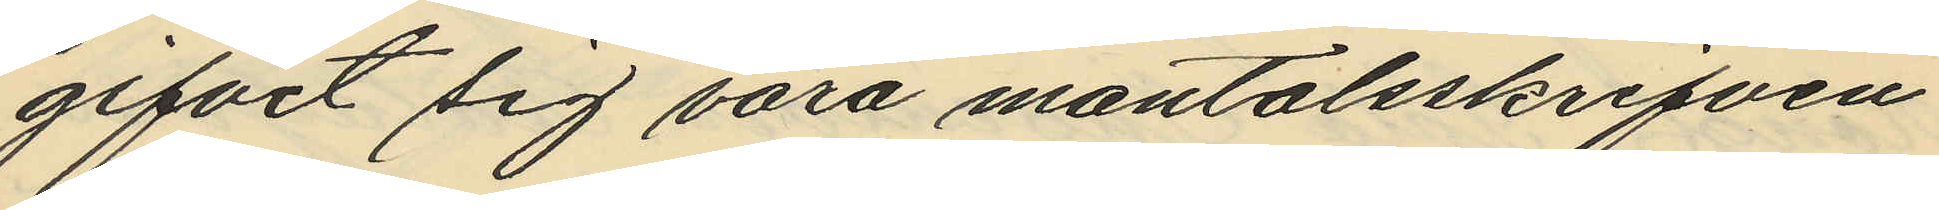gifvit sig vara mantalsskrifven
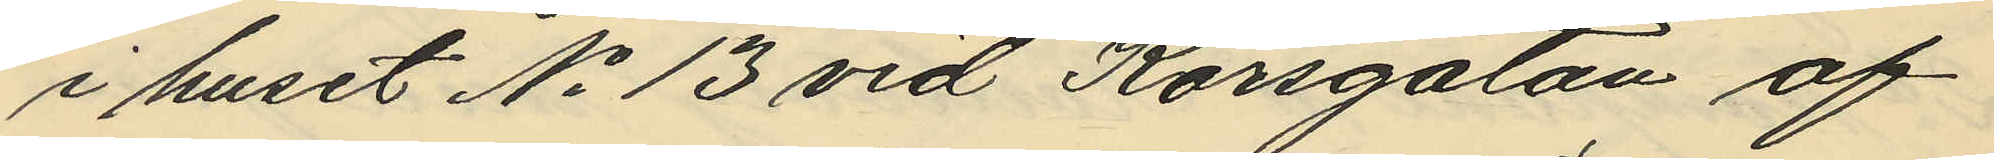i huset No 13 vid Korsgatan af
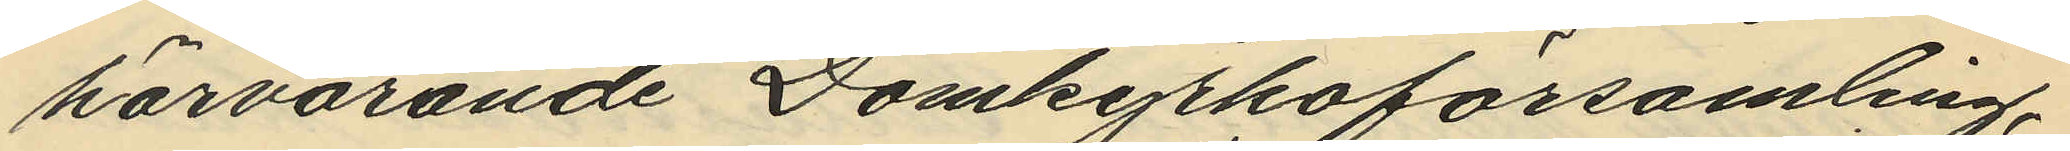härvarande Domkyrkoförsamling,
